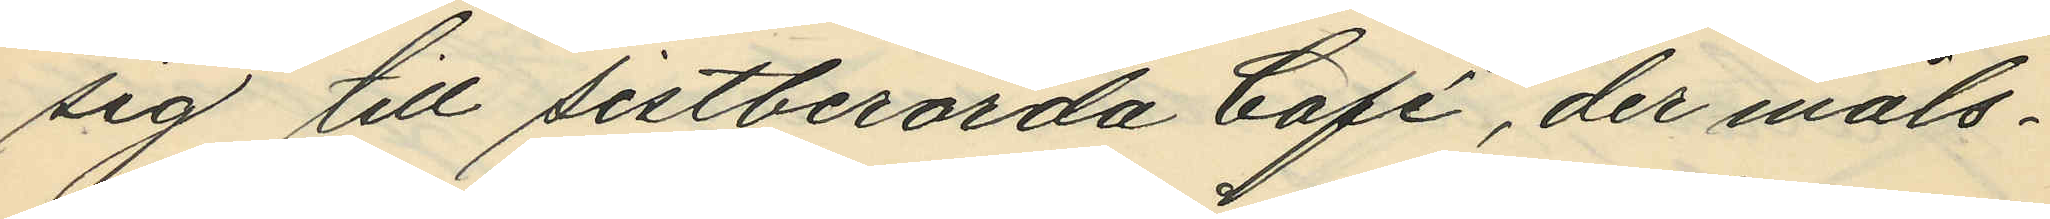sig till sistberörda Café, der måls¬
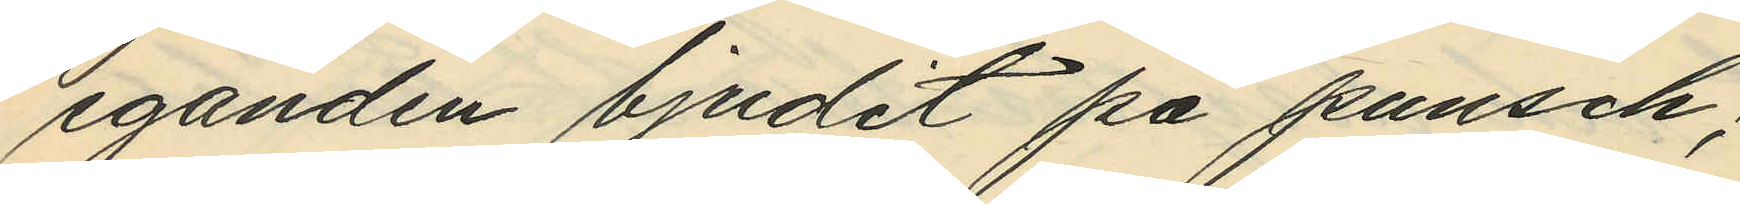eganden bjudit på punsch;
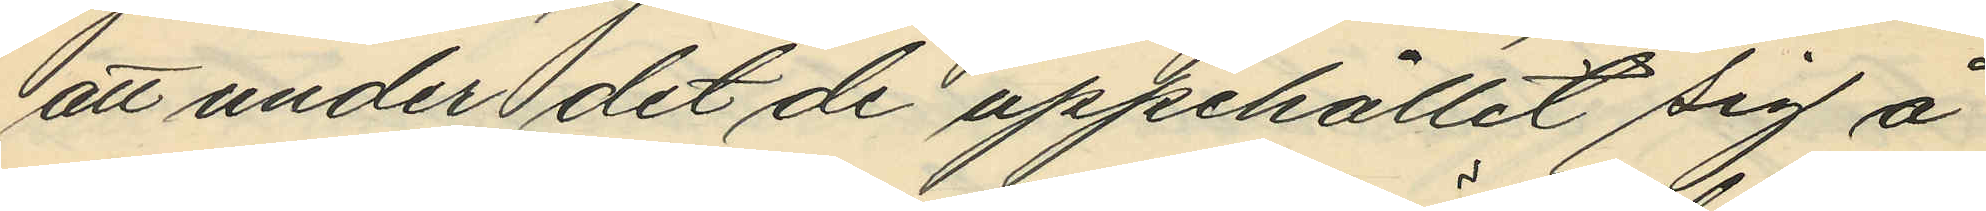att under det de uppehållit sig å
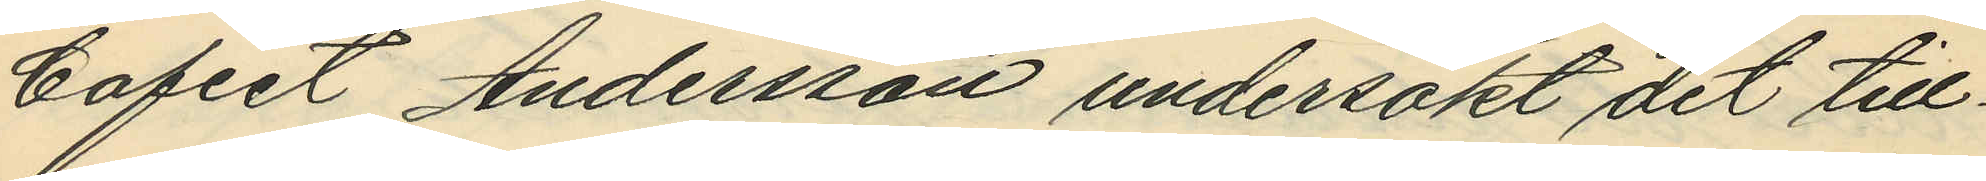Caféet Andersson undersökt det till¬
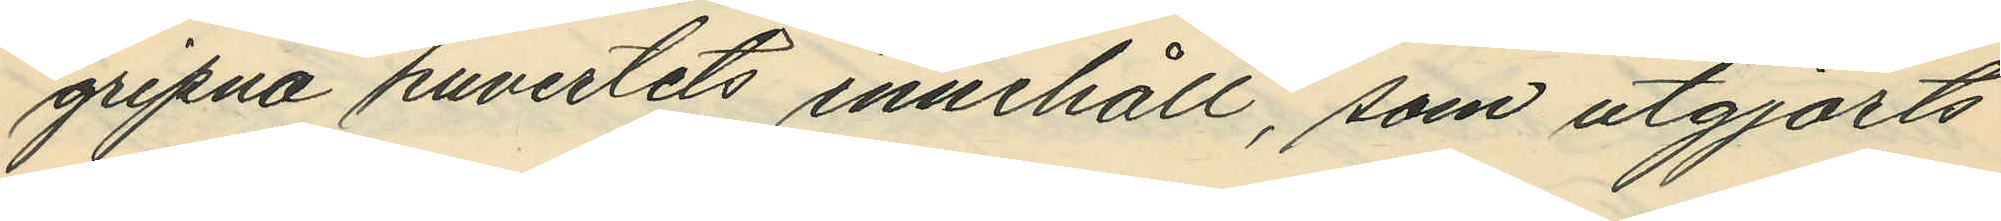gripna kuvertets innehåll, som utgjorts
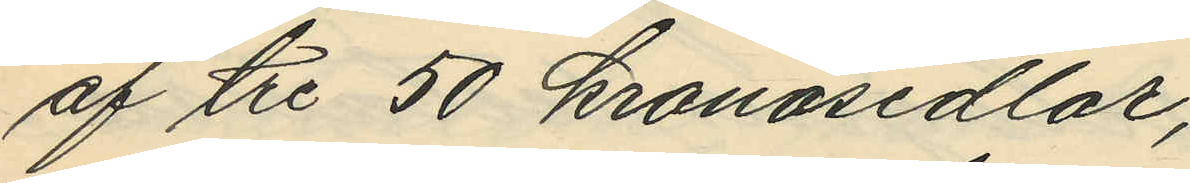af tre 50 kronosedlar;
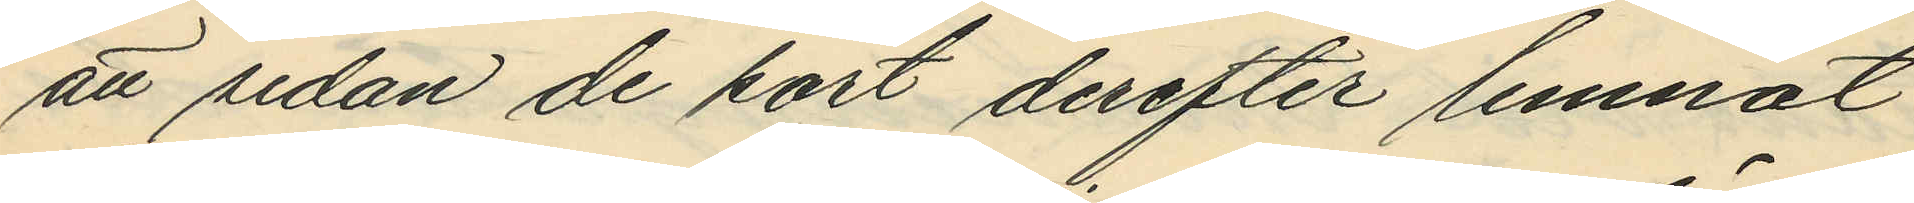att sedan de kort derefter lemnat
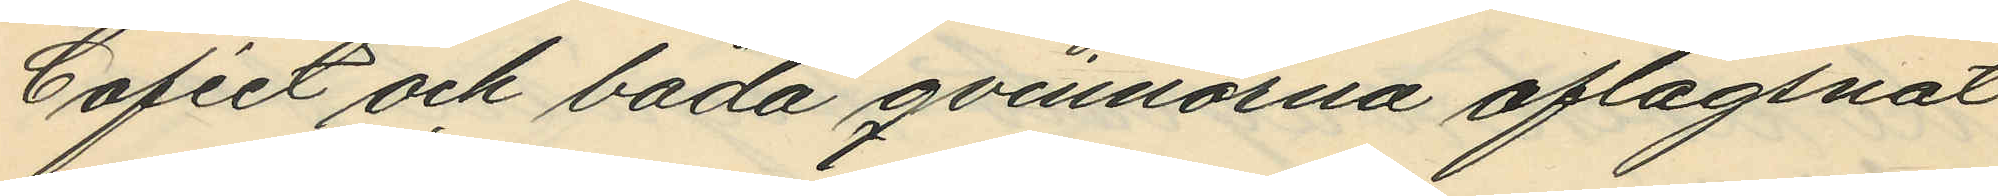Caféet och båda qvinnorna aflägsnat
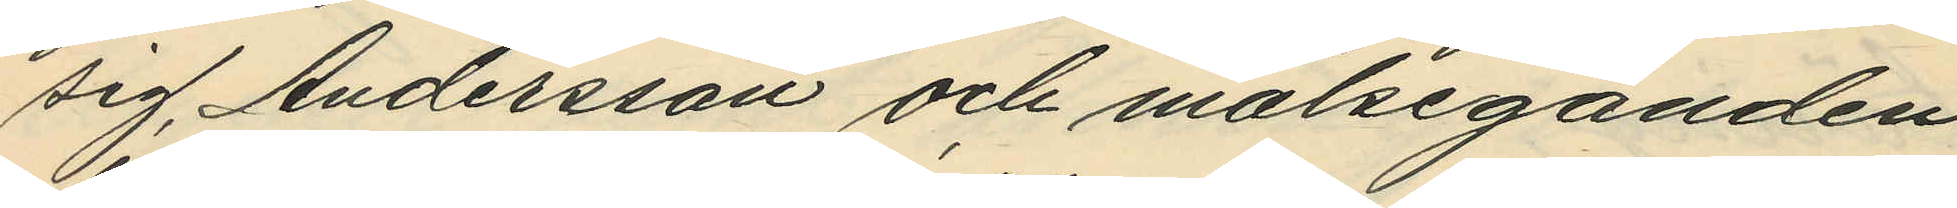sig, Andersson och målseganden
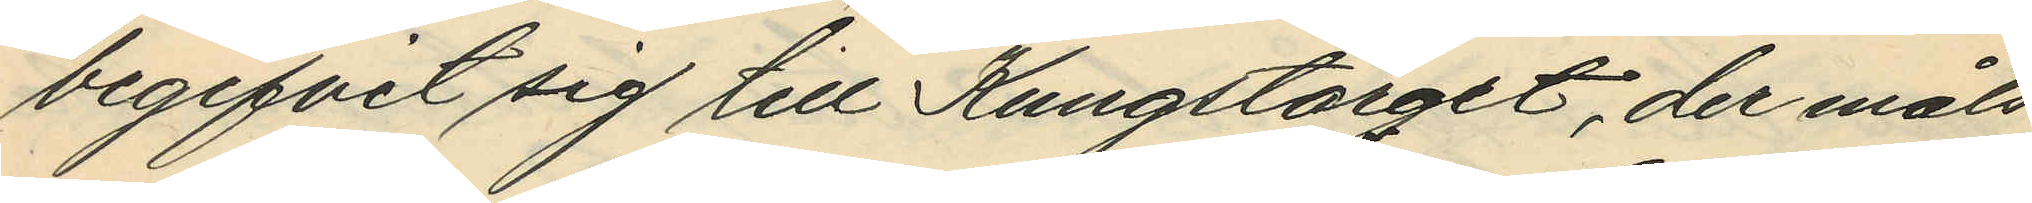begifvit sig till Kungstorget, der måls¬
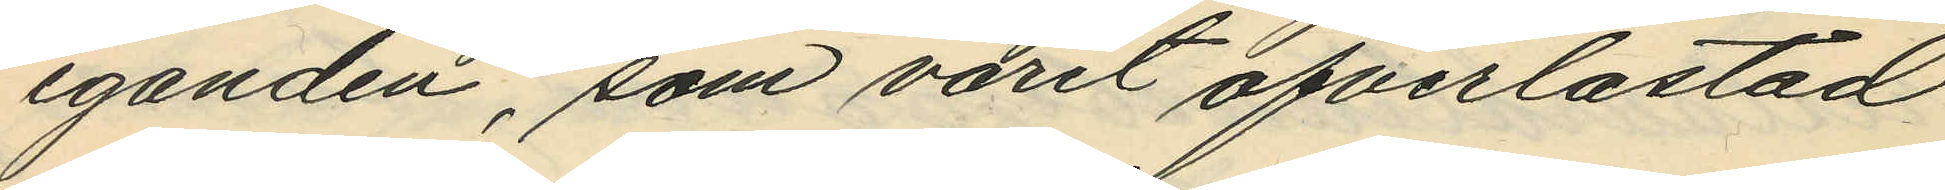eganden, som varit öfverlastad
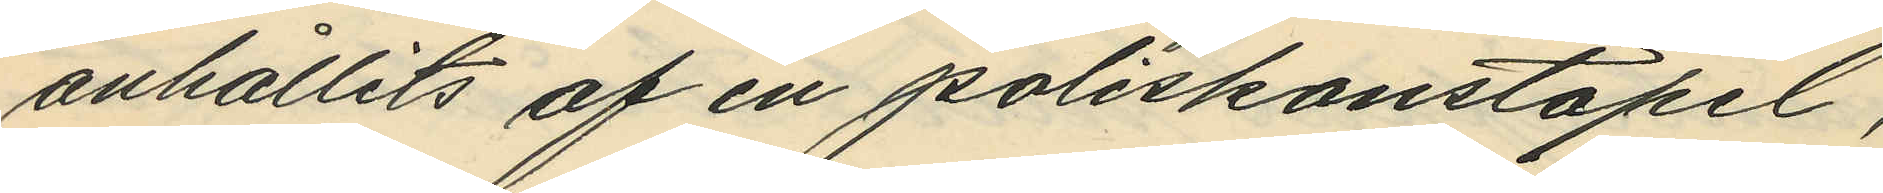anhållits af en poliskonstapel,
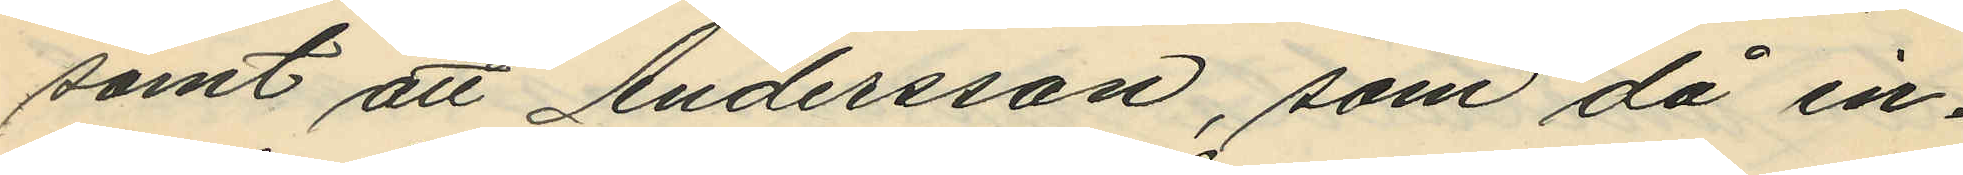samt att Andersson, som då in¬
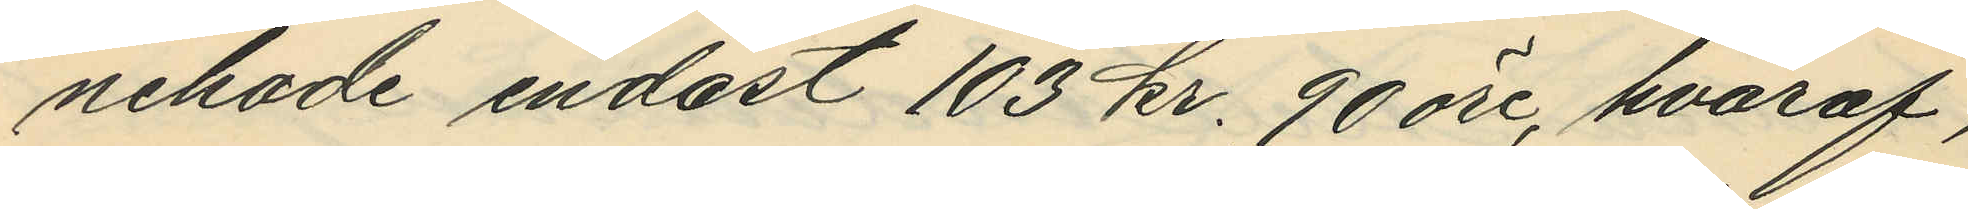nehade endast 103 kr. 90 öre, hvaraf,
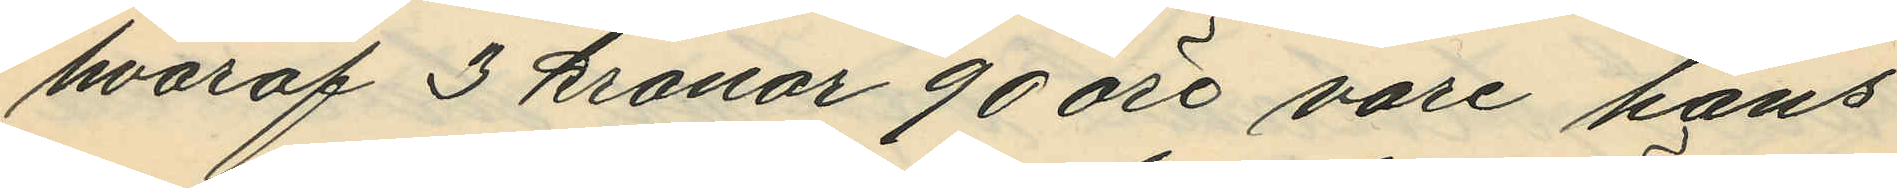hvaraf 3 kronor 90 öre vore hans
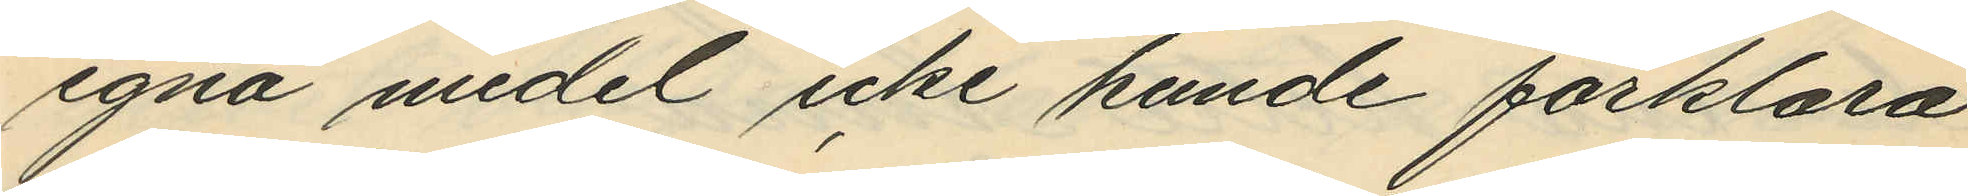egna medel icke kunde förklara
